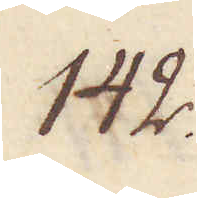142.
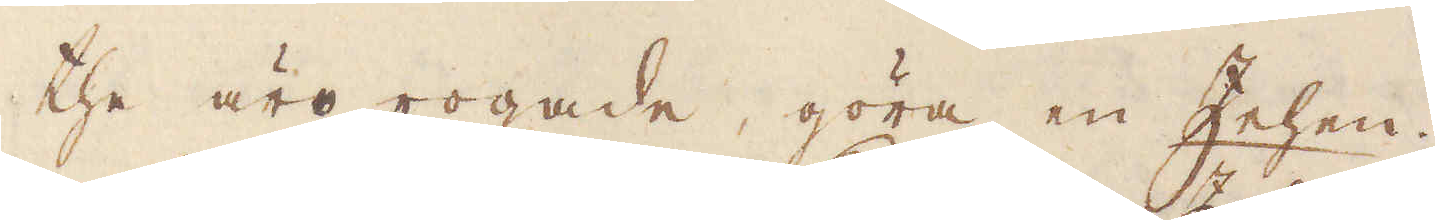the äro rogade, göra en Zehen.
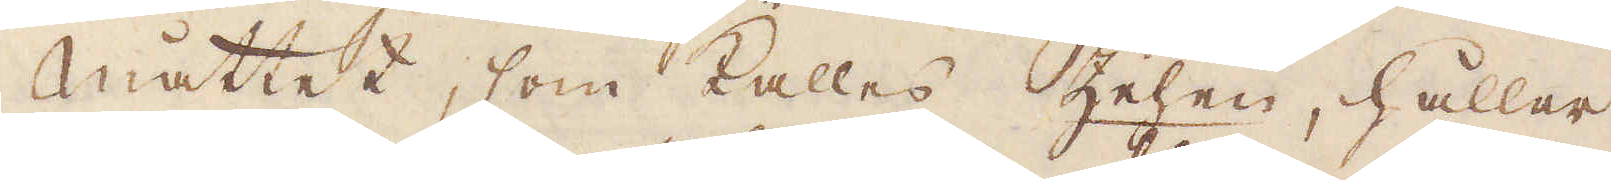Måttet, som kalles Zehen, håller
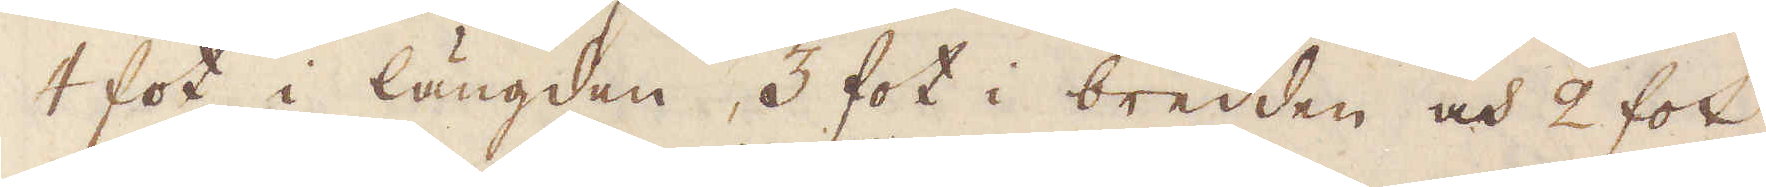4 fot i längden, 3 fot i bredden och 2 fot
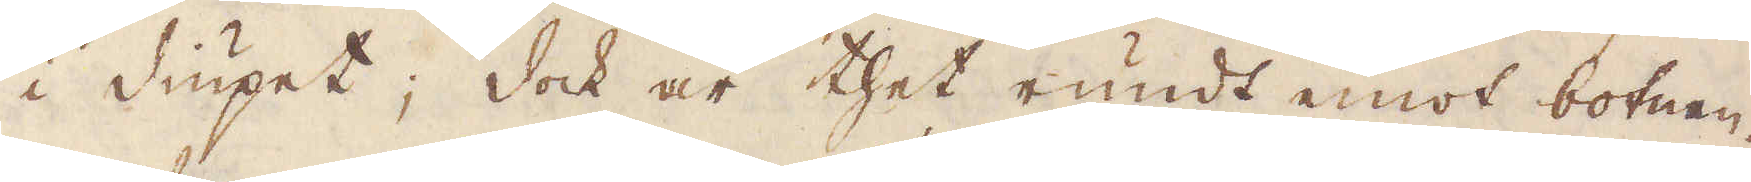i diupet; dock är thet rundt emot botnen.
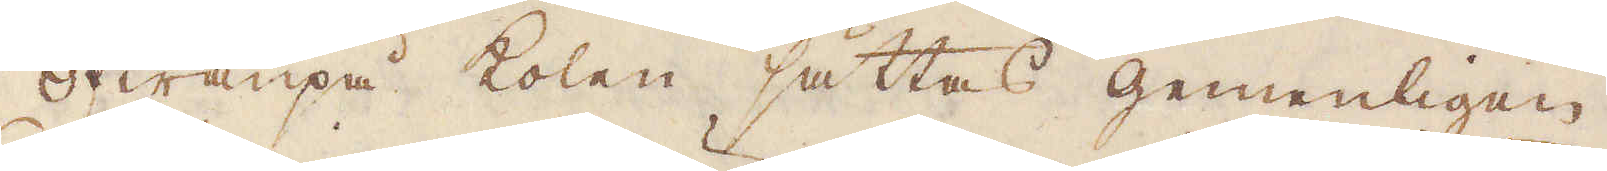Ofwanpå kolen sättas gemenligen
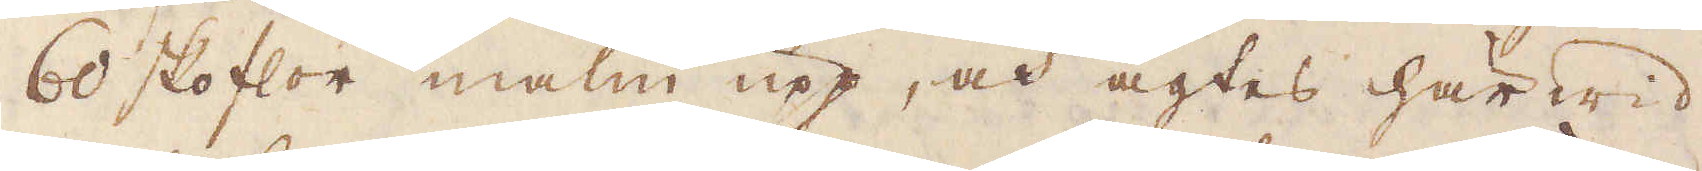60 skoflor malm upp, och agtes här wid
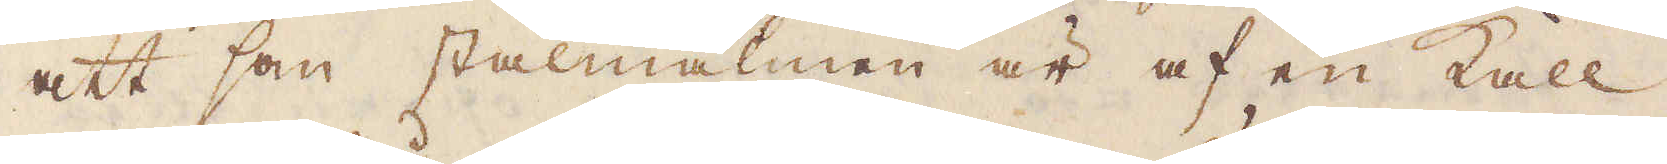att som stålmalmen är af en Kall
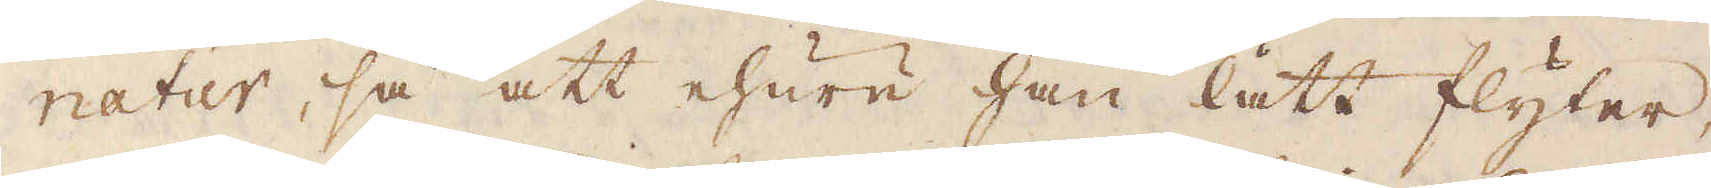natur, så att ehuru han lätt flyter,
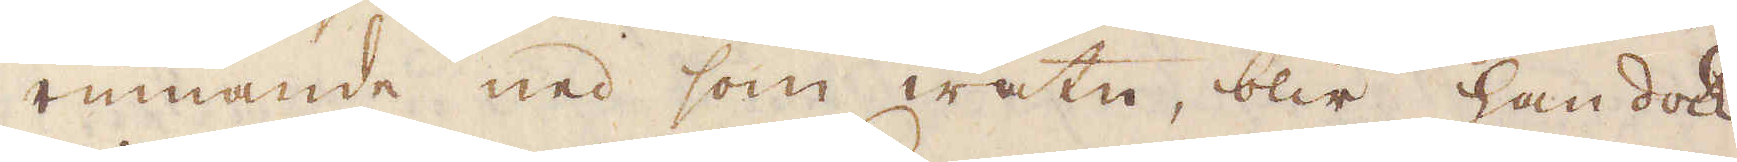rinnande ned som watn, blir han dock
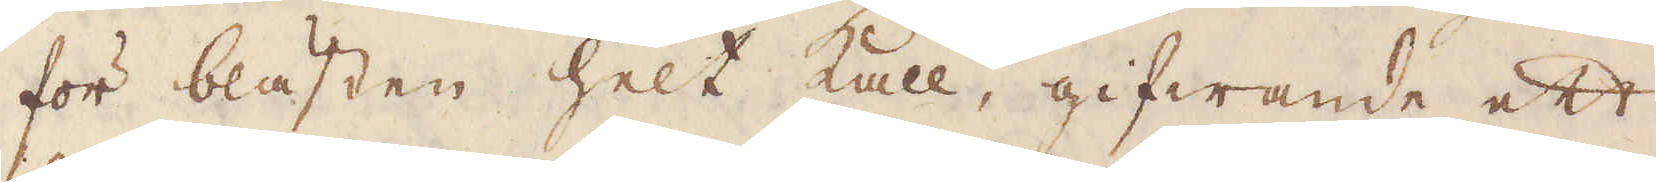för blästen helt kall, gifwande ett
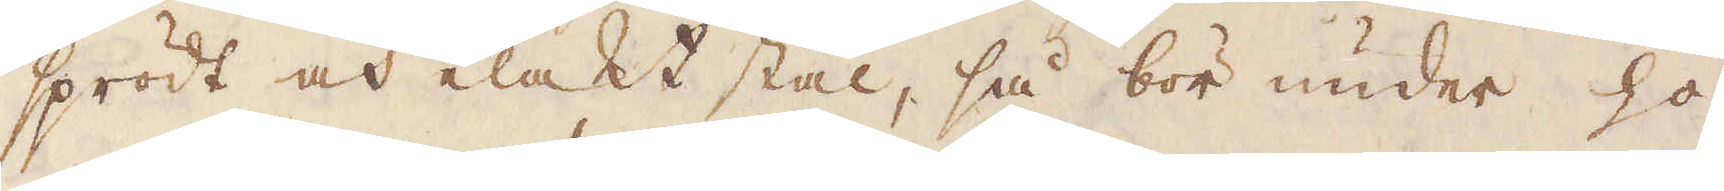sprödt och elakt stål, så bör under ho-
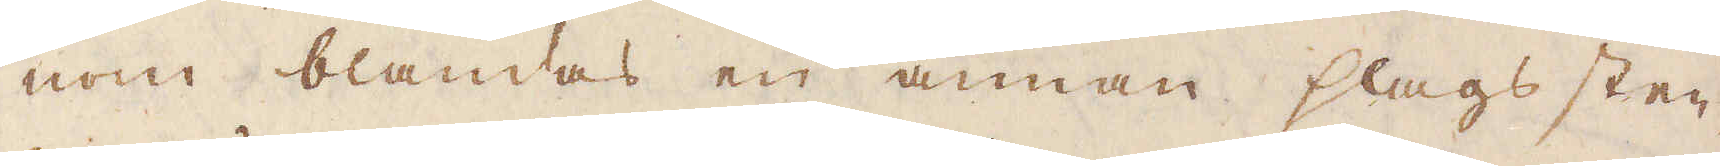nom blandas en annan slags sten,
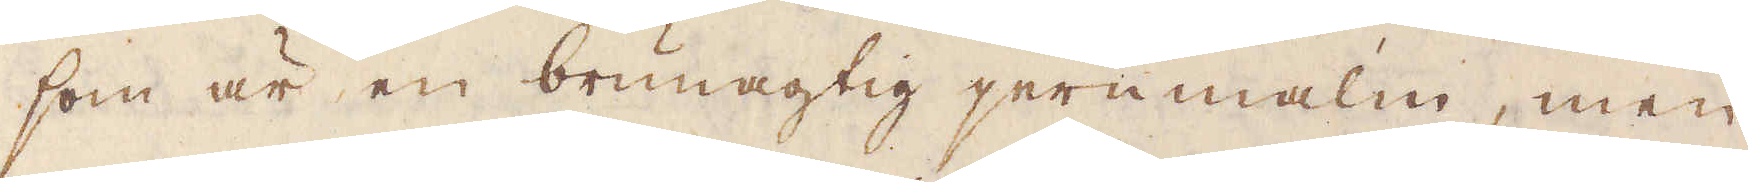som är en brunagtig jernmalm, men
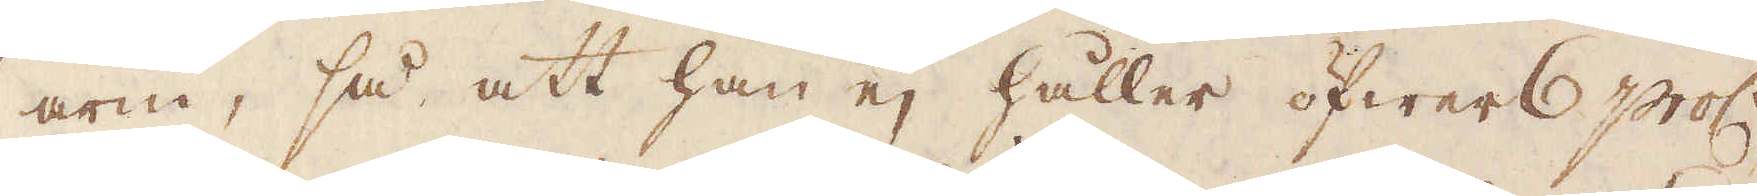arm, så att han ej håller öfwer 6 proc:t
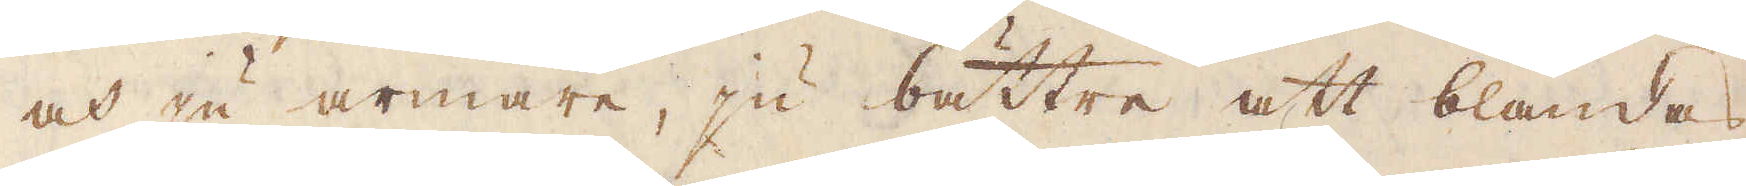och ju armare, ju bättre att blandas
